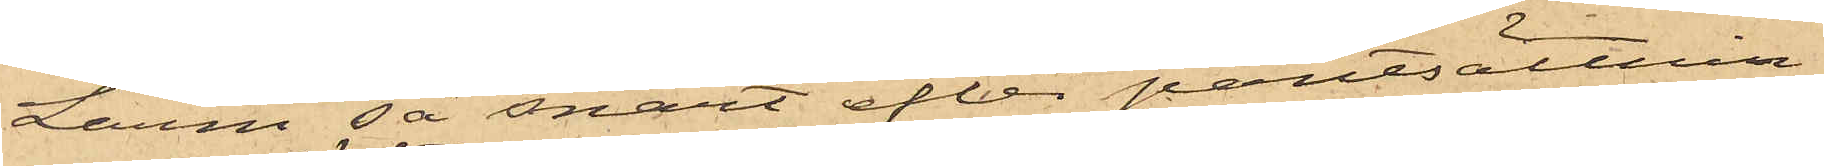Larm så snart efter pantsättnin¬
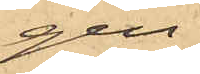gen
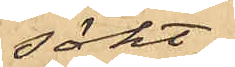sökt
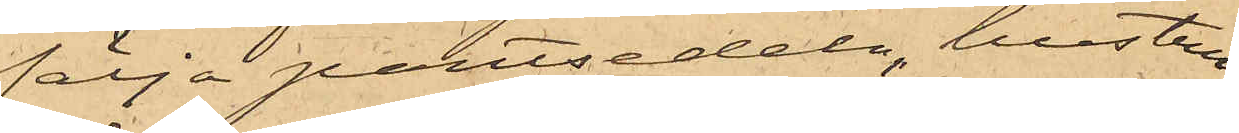sälja pantsedeln, hustru
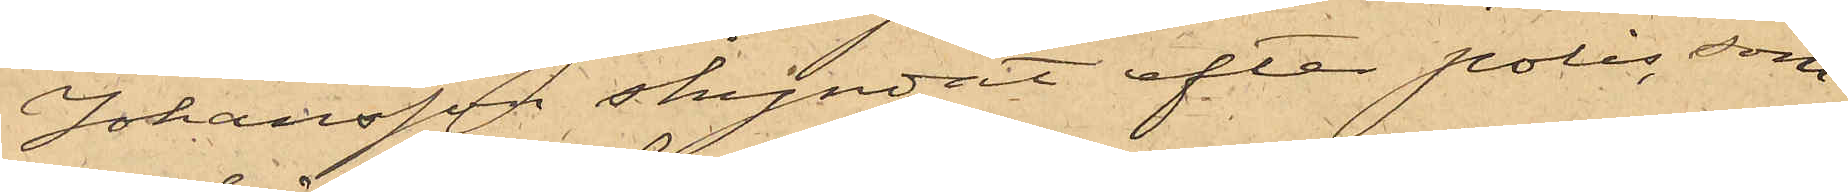Johansson skyndat efter polis, som
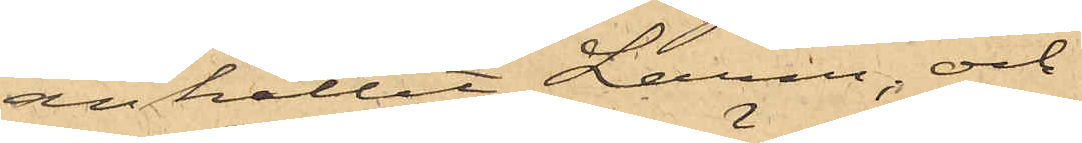anhållit Larm, och
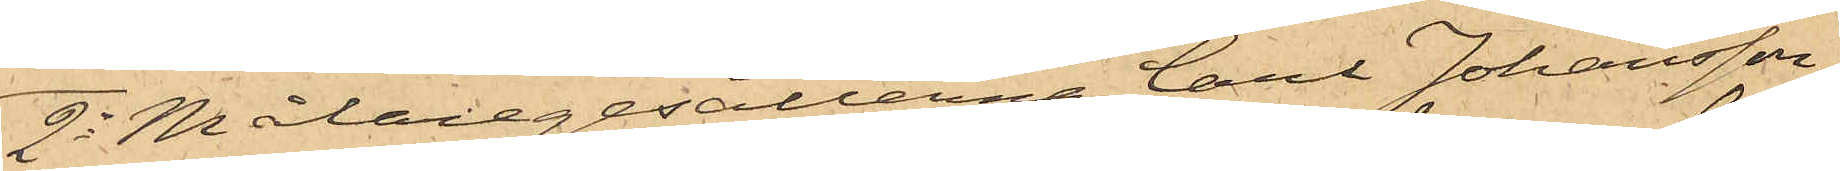2o Målaregesällerna Carl Johansson
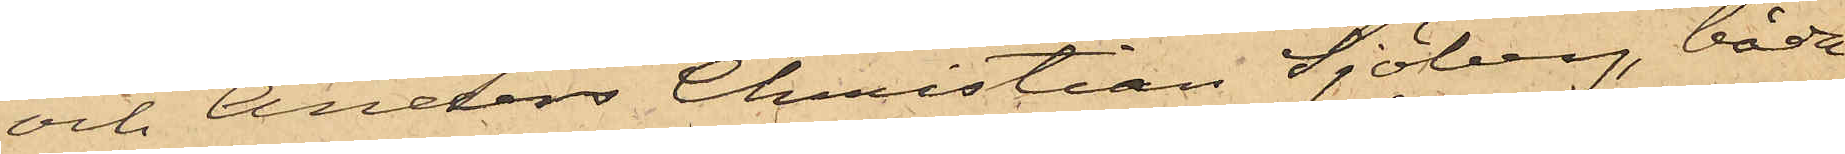och Anders Christian Sjöberg, båda
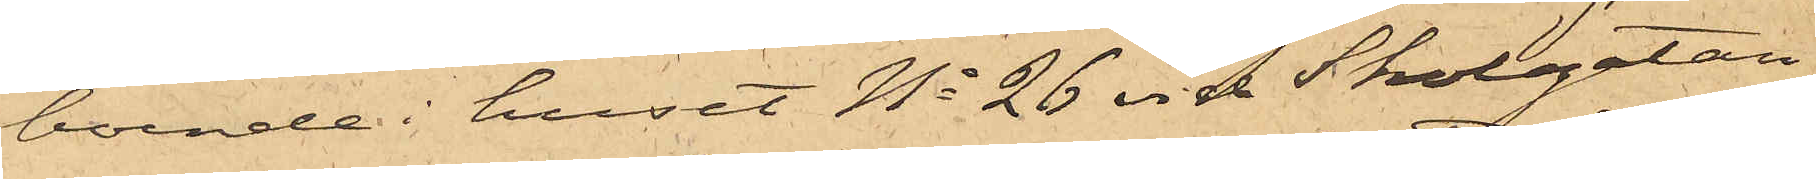boende i huset No 26 vid Skolgatan,
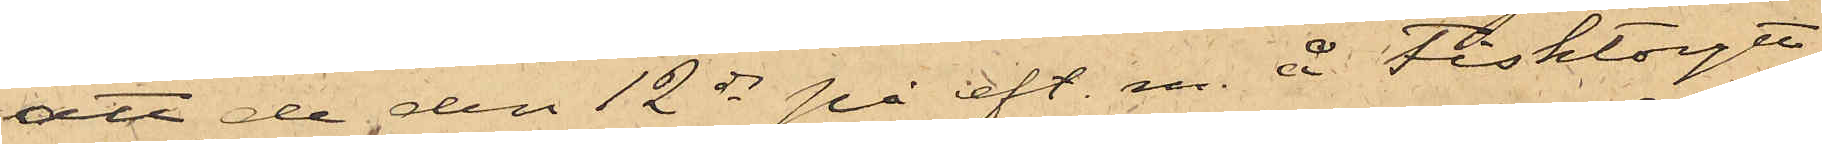att de den 12 ds på eft. m. å Fisktorget
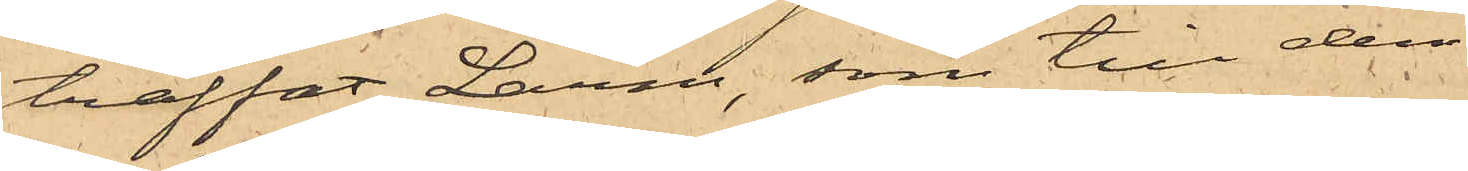träffat Larm, som till dem
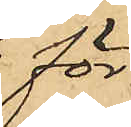för
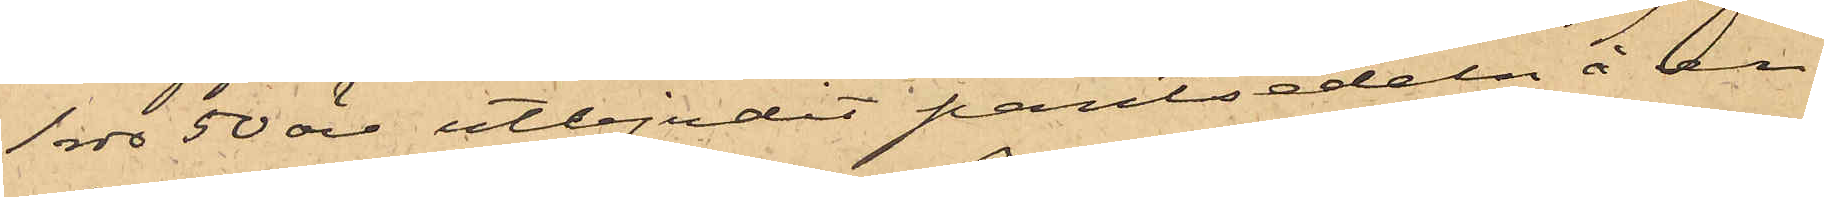1 rdr 50 öre utbjudit pantsedeln å en
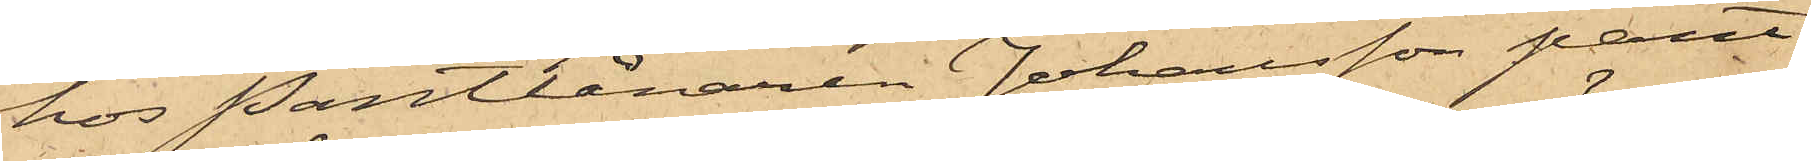hos Pantlånaren Johansson pant¬
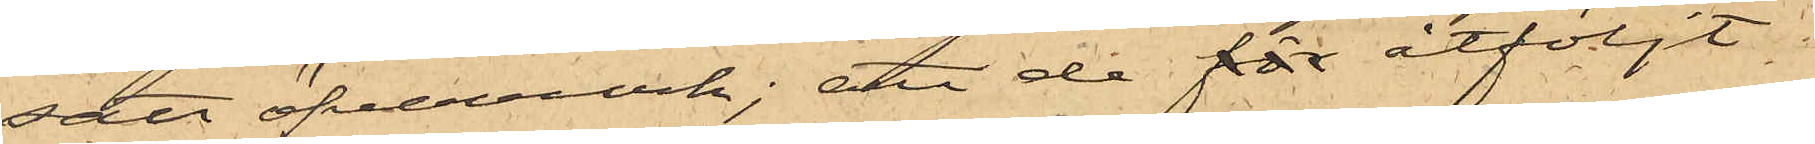satt öfverrock; att de för åtföljt
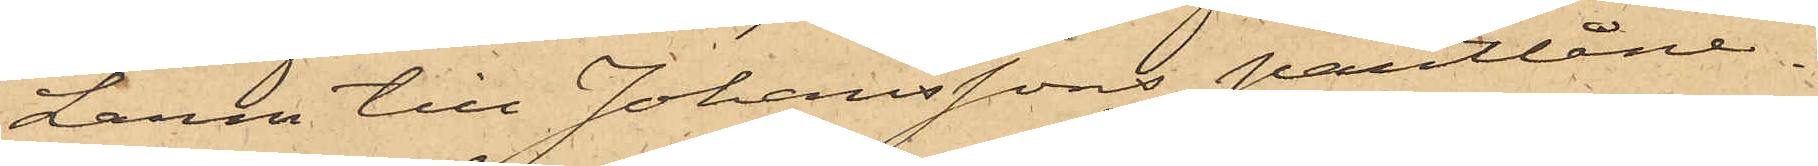Larm till Johanssons pantlåne¬
